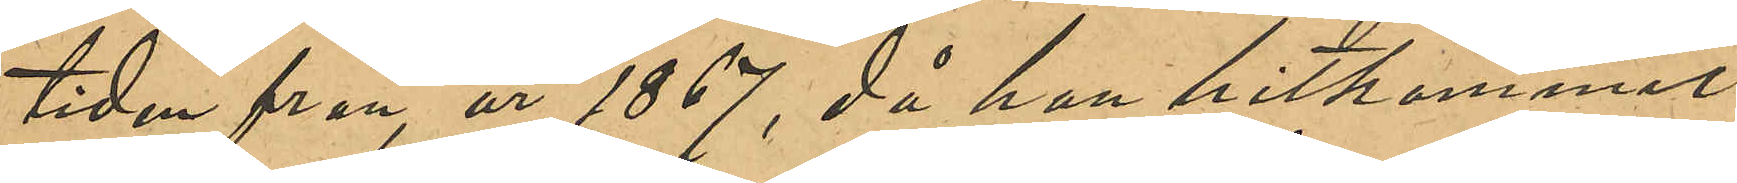tiden från år 1867, då han hitkommit
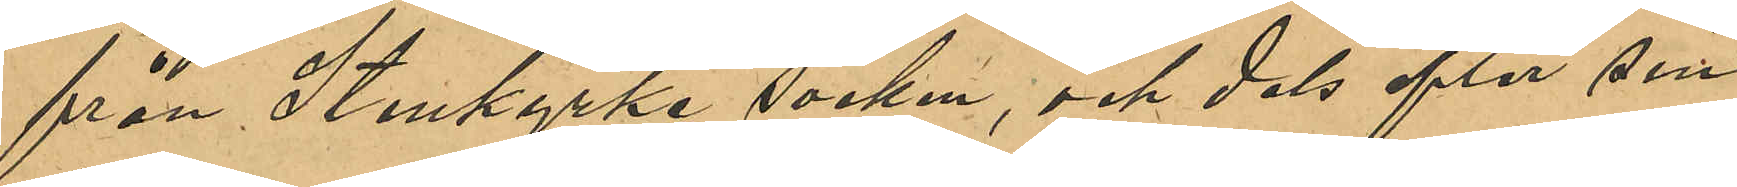från Stenkyrka socken, och dels efter sin
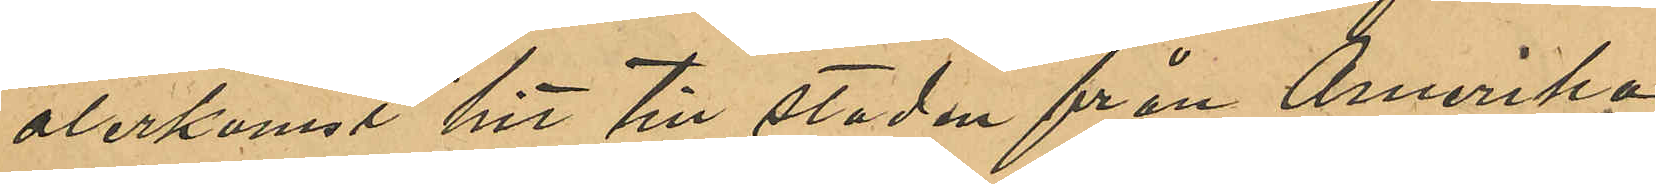återkomst hit till staden från Amerika
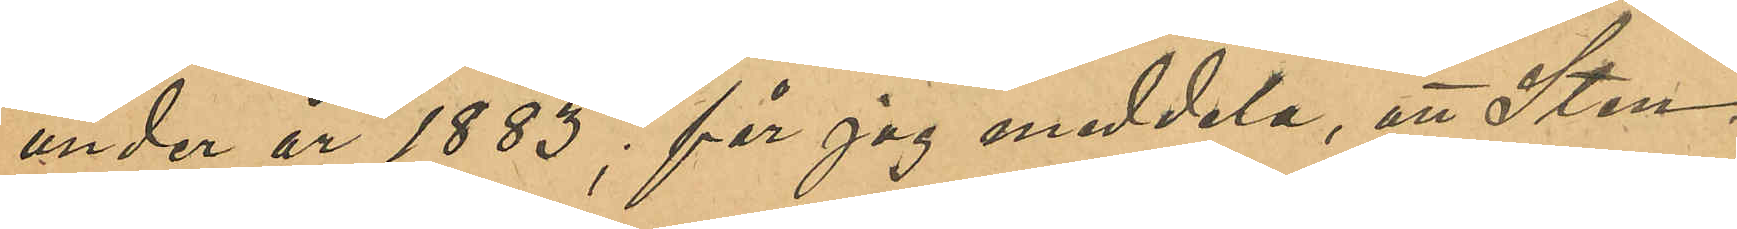under år 1883, får jag meddela, att Sten¬
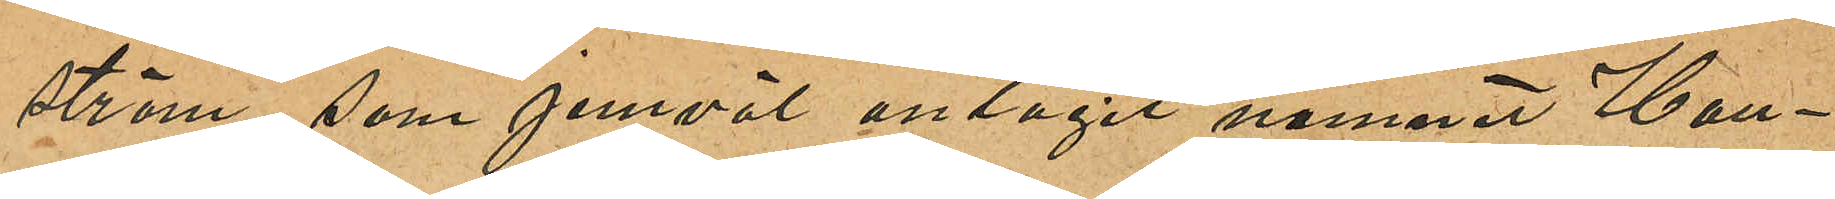ström, som jemväl antagit namnet Han¬
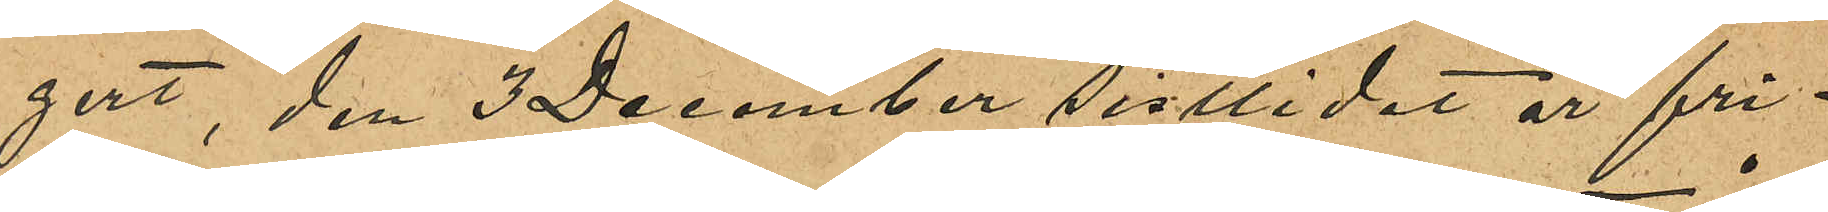gert, den 3 December sistlidet år fri¬
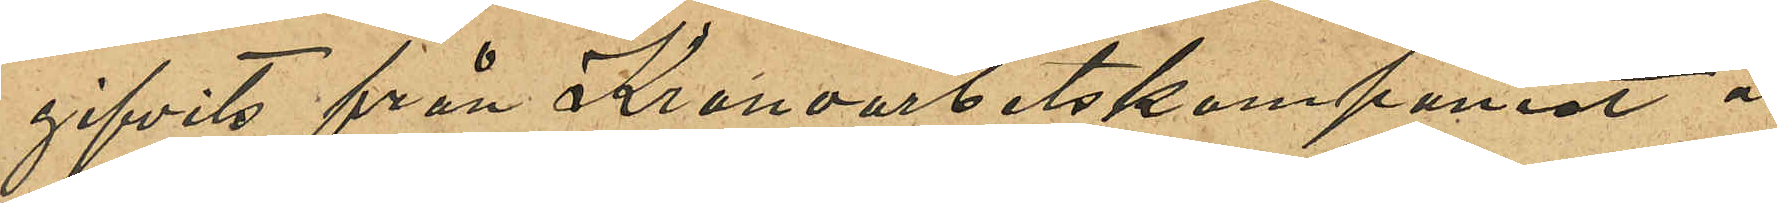gifvits från Kronoarbetskompaniet å
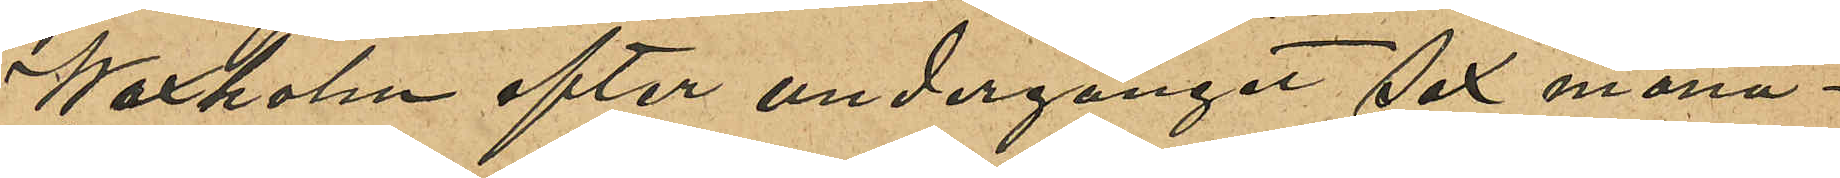Waxholm efter undergånget sex måna¬
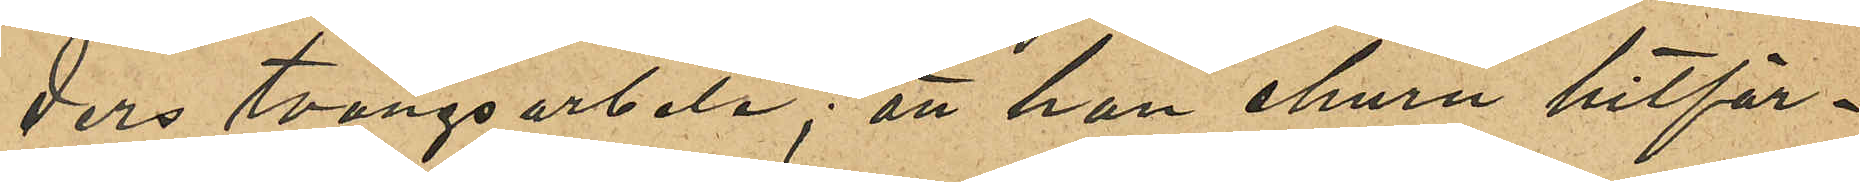ders tvångsarbete; att han ehuru hitför¬
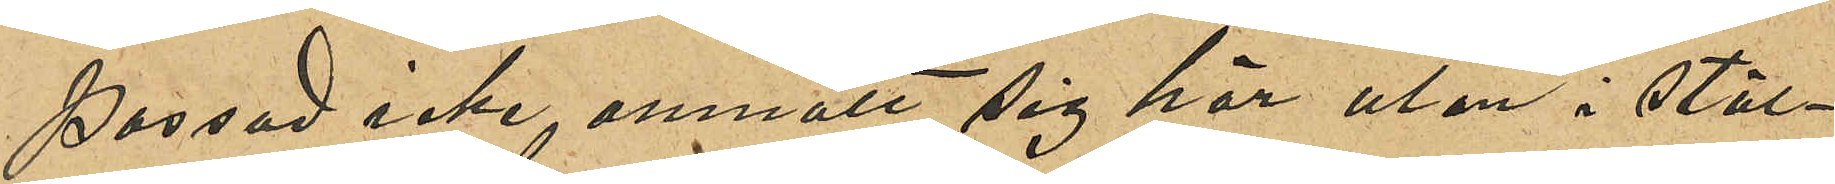passad icke anmält sig här utan i stäl¬
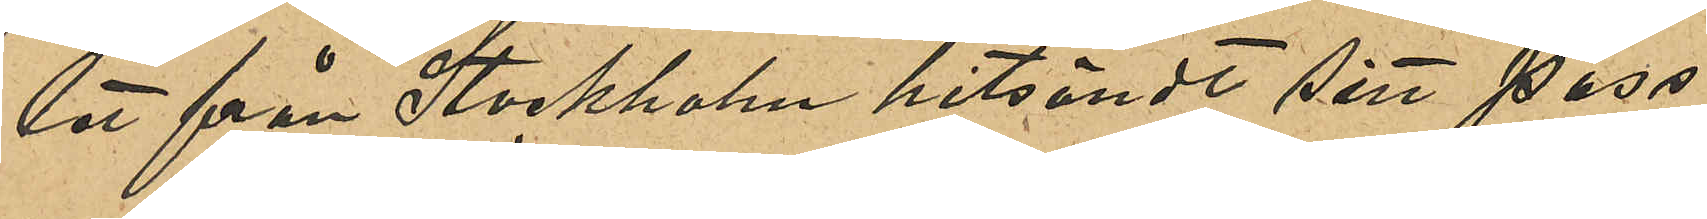let från Stockholm hitsändt sitt pass
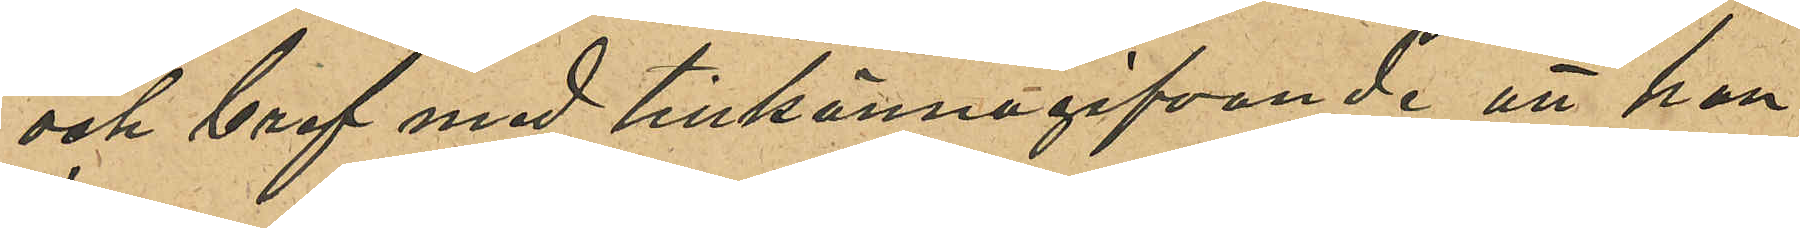och bref med tillkännagifvande att han
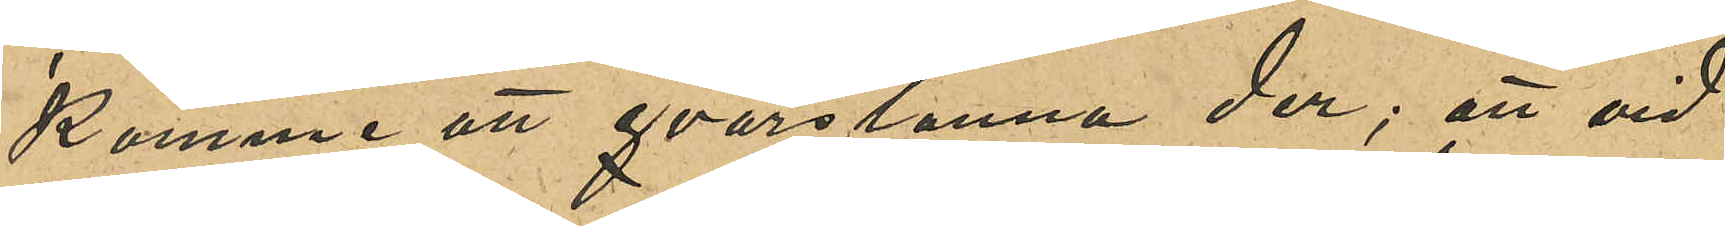kommer att qvarstanna der; att vid
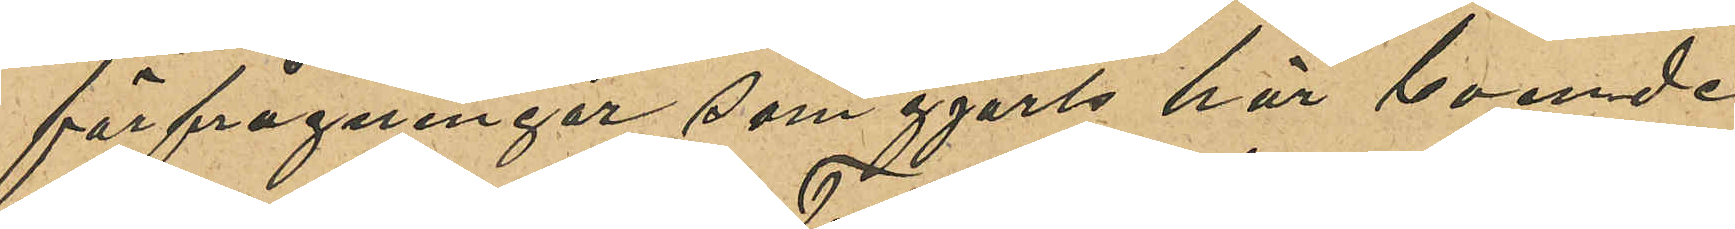förfrågningar som gjorts här boende
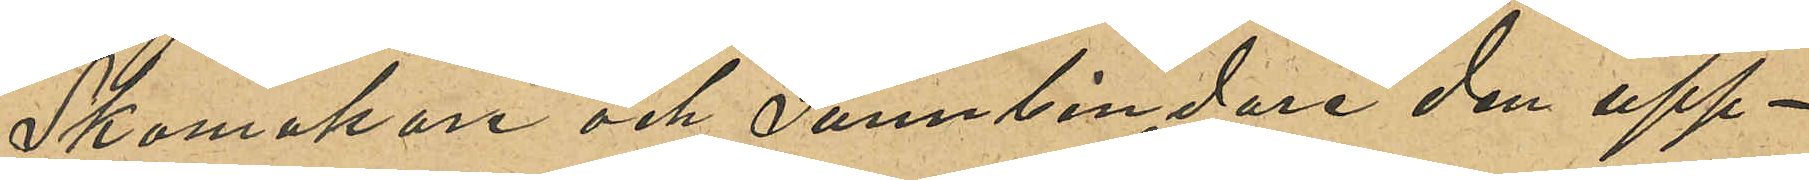Skomakare och Tunnbindare den upp¬
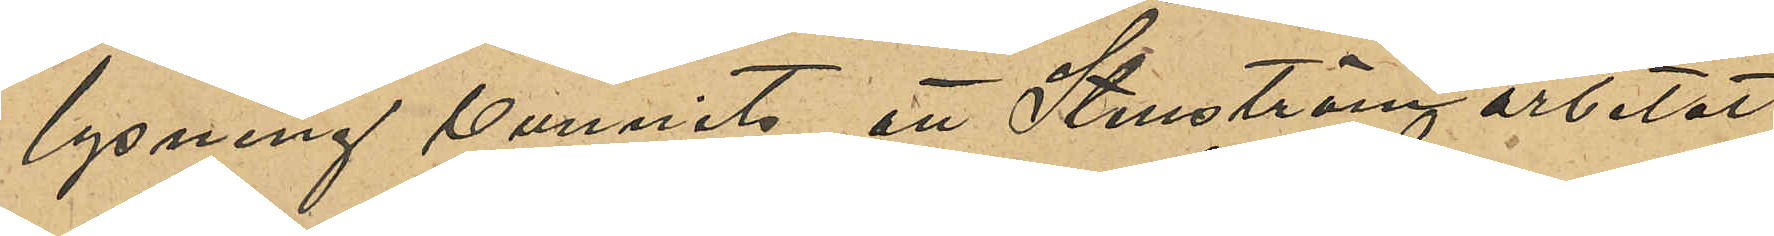lysning vunnits, att Stenström arbetat
